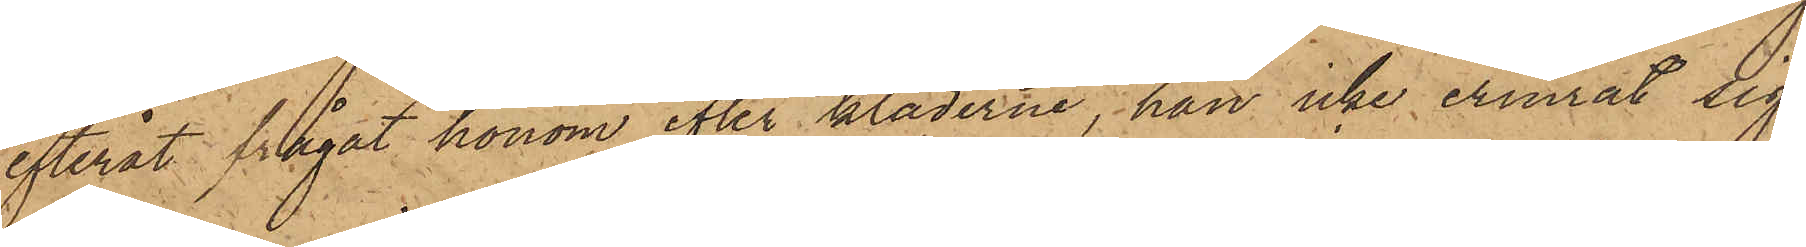efteråt frågat honom efter kläderne, han icke erinrat sig
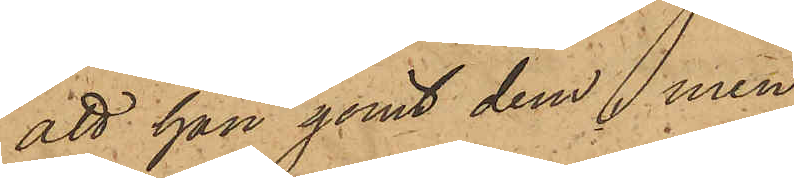att han gömt dem, men
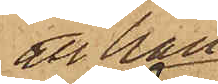att han
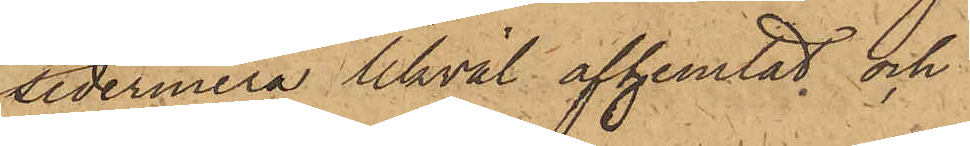sedermera likväl afhemtat och
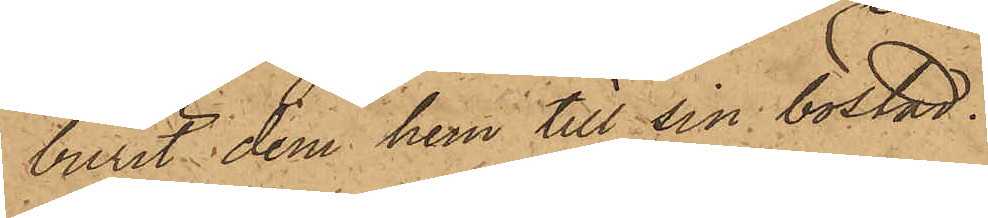burit dem hem till sin bostad.
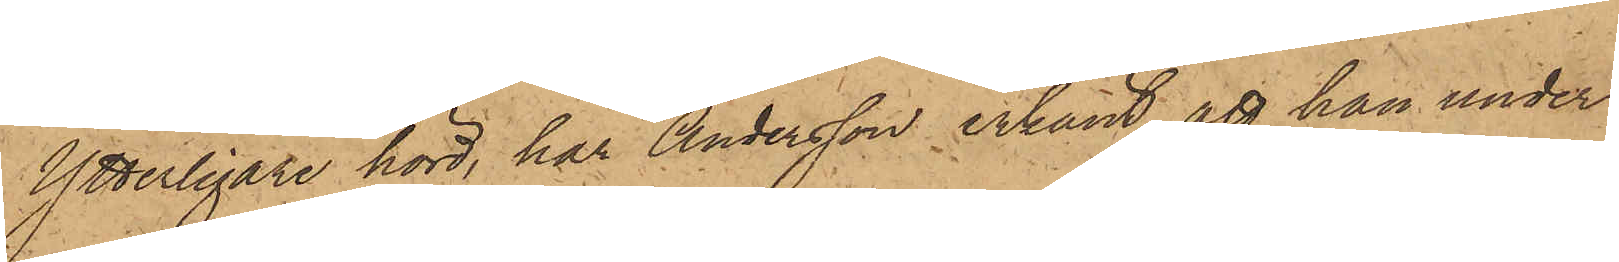Ytterligare hörd, har Andersson erkänt, att han under
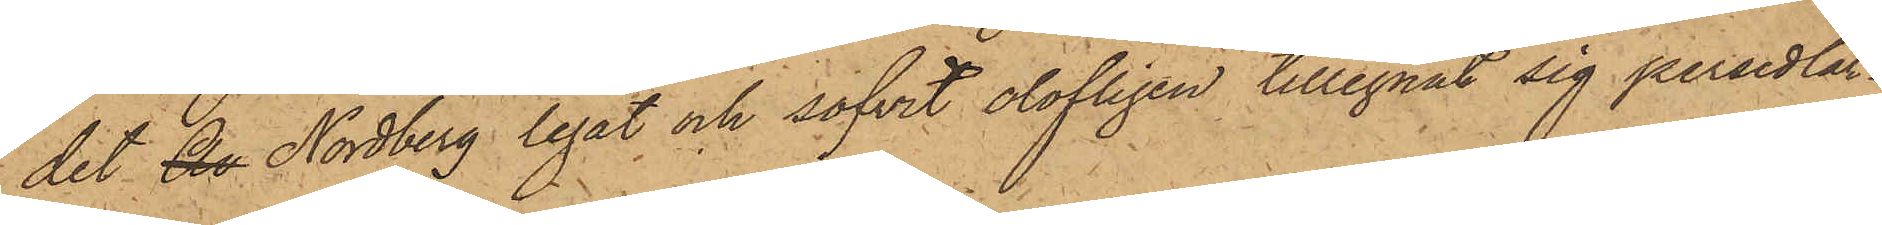det An Nordberg legat och sofvit olofligen tillegnat sig persedlar¬
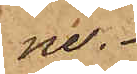ne.
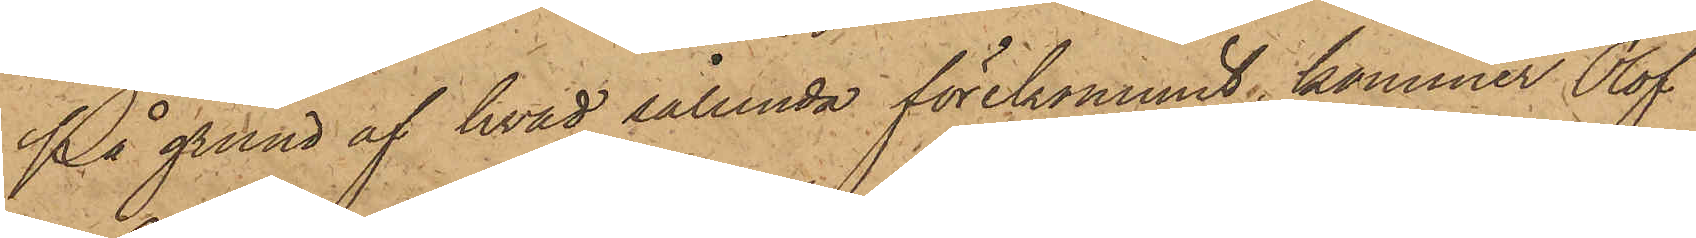På grund af hvad sålunda förekommit, kommer Olof
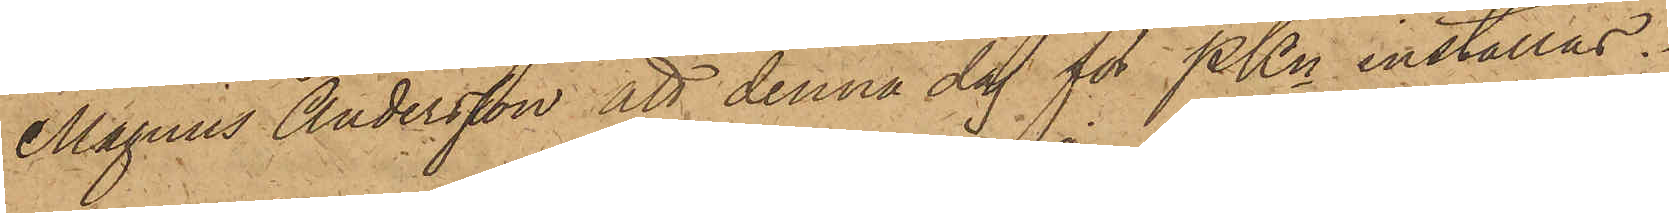Magnus Andersson att denna dag för PKn inställas.
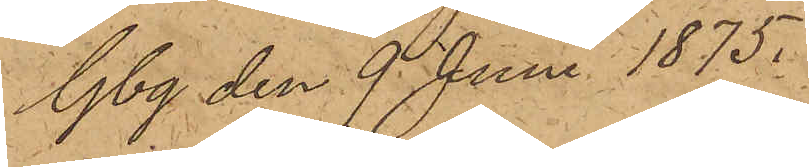Gbg den 9 Juni 1875.
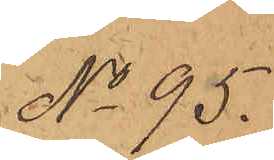No 95.
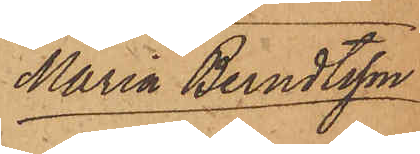Maria Berndtsson
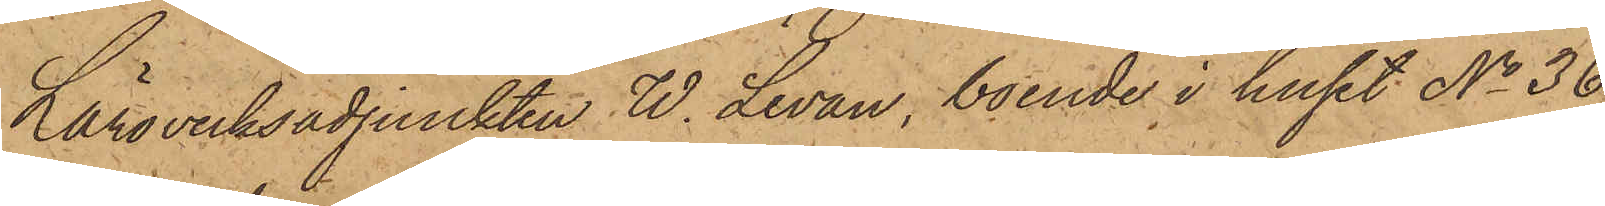Läroverksadjunkten W. Levan, boende i huset No 36
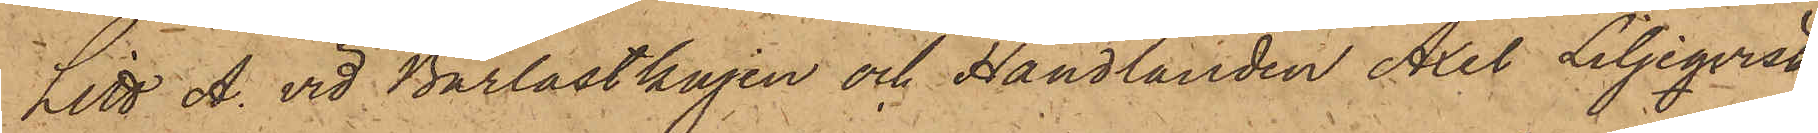Litt A. vid Barlastkajen och Handlanden Axel Liljeqvist,
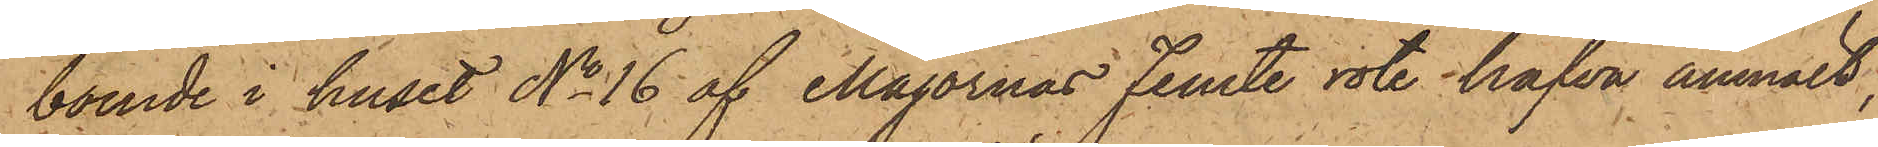boende i huset No 16 af Majornas Femte rote hafva anmält,
